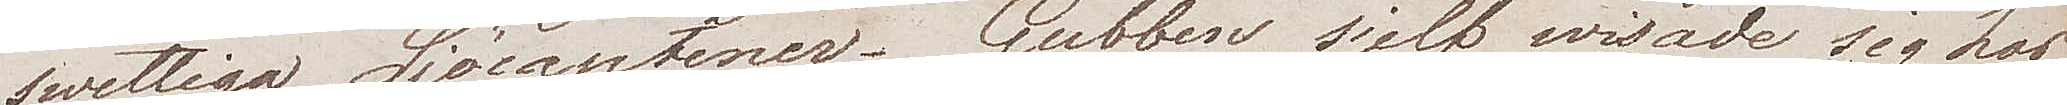swettiga Sjöcaptener. Gubben sjelf wisade sig hos
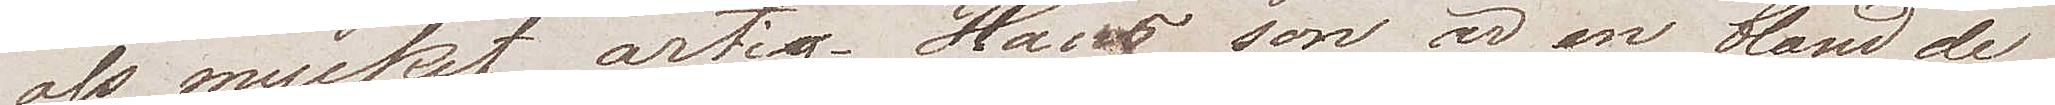oss mycket artig. Hans son är en bland de
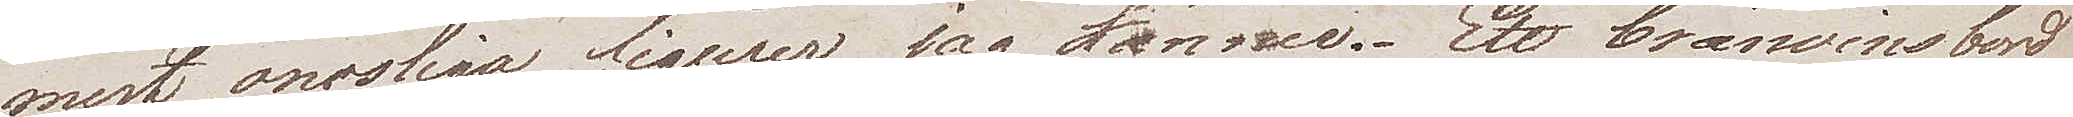mest onosliga figurer jag känner. Ett brännwinsbord
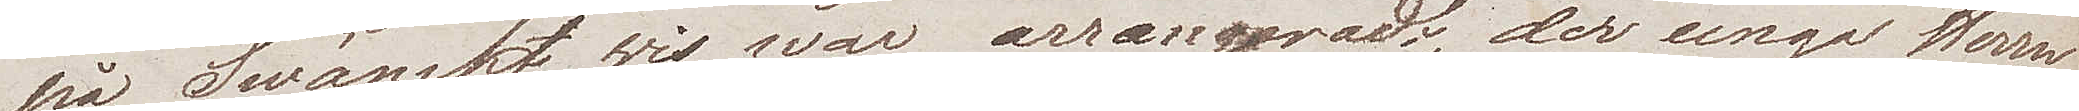på Swänskt wis war arrangeradt, der unga Herrn
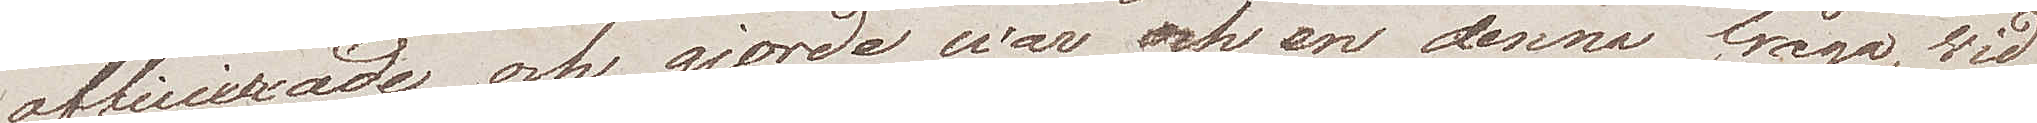officierade och gjorde war och en denna fråga, wid
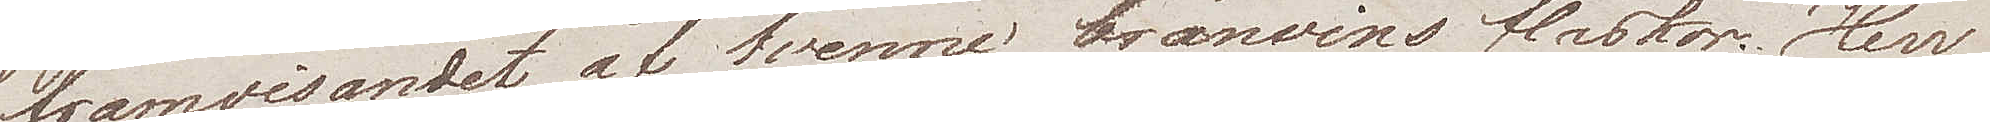framvisandet af tvenne brännvinsflaskor: "Herr 
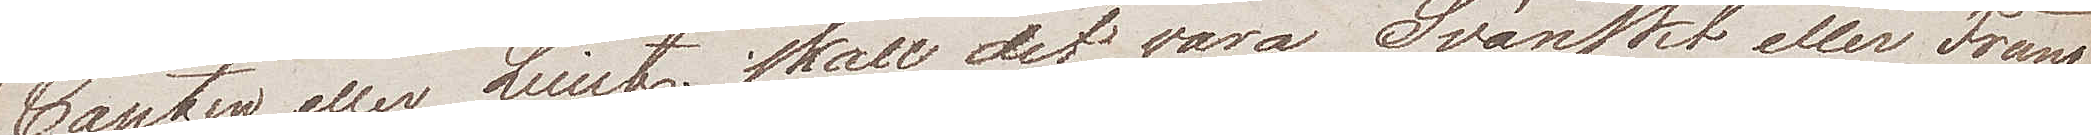Capten eller Lieutt skall det vara Svänskt eller Franskt,
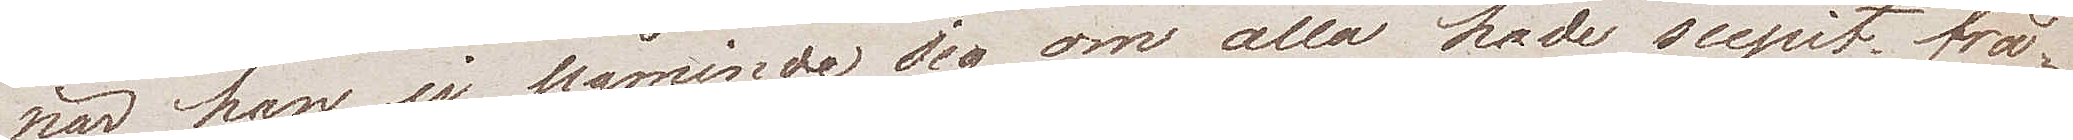när han ej påminde sig om alla hade supit frå¬
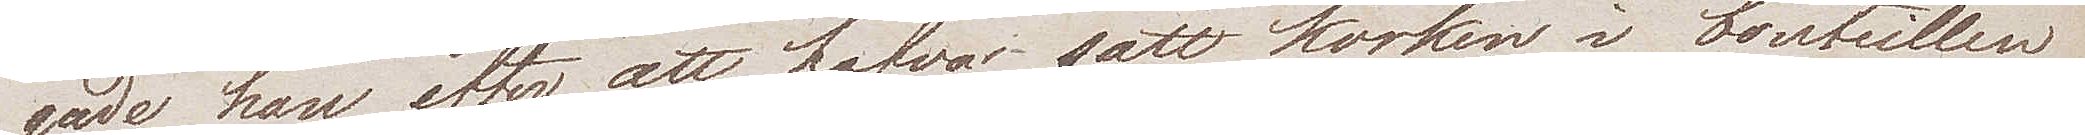gade han efter att hafva satt korken i bouteillen
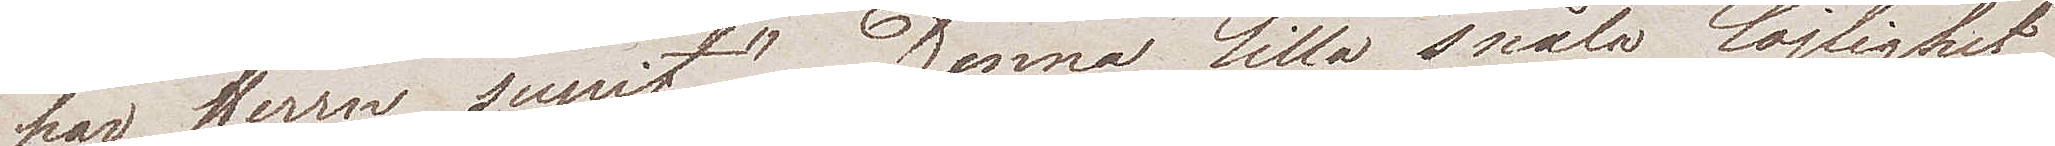"har Herrn supit". Denna lilla snåla löjlighet
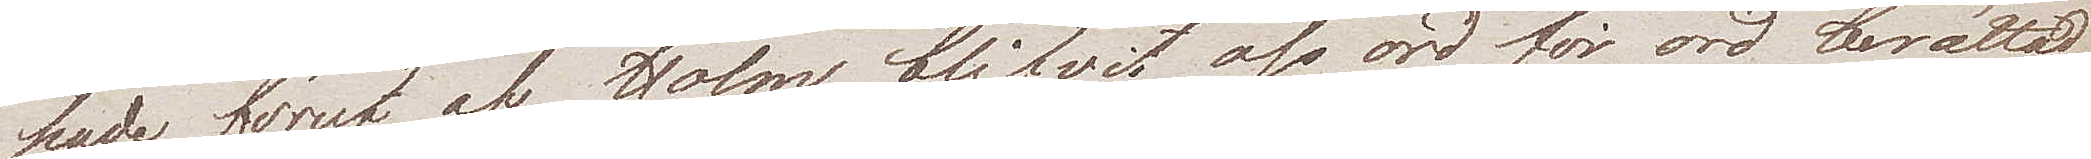hade förut af Holm blifvit oss ord för ord berättad
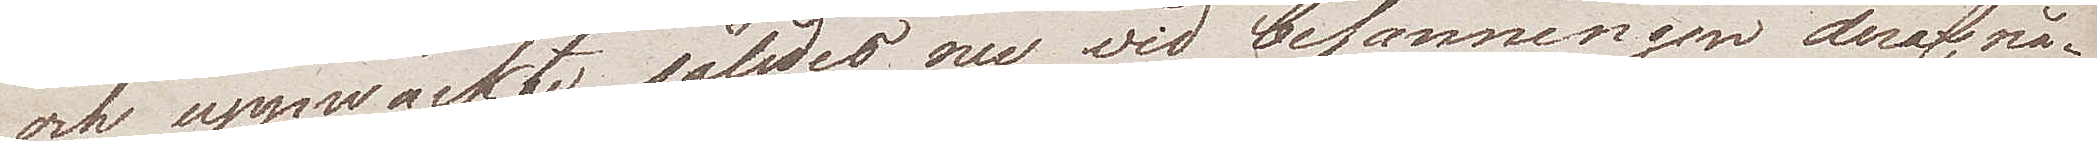och uppwäckte således nu vid besanningen deraf, nå¬
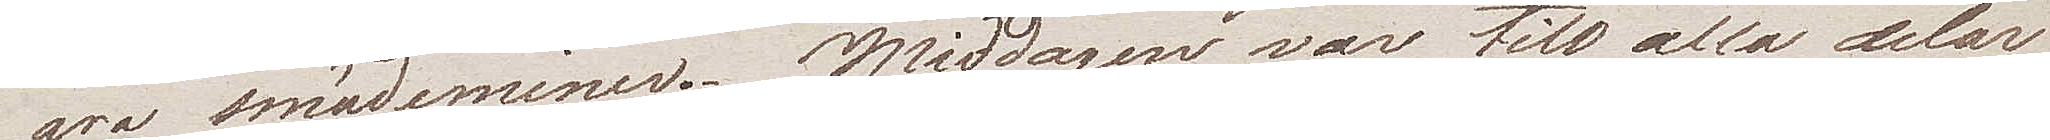gra smädeminer. Middagen var till alla delar
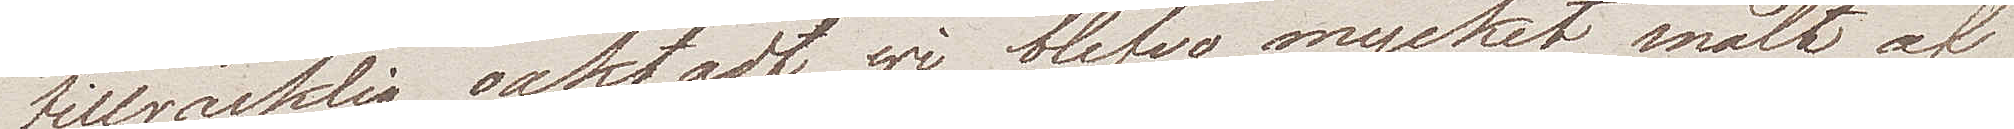tillräcklig oaktadt wi blefvo mycket snålt af
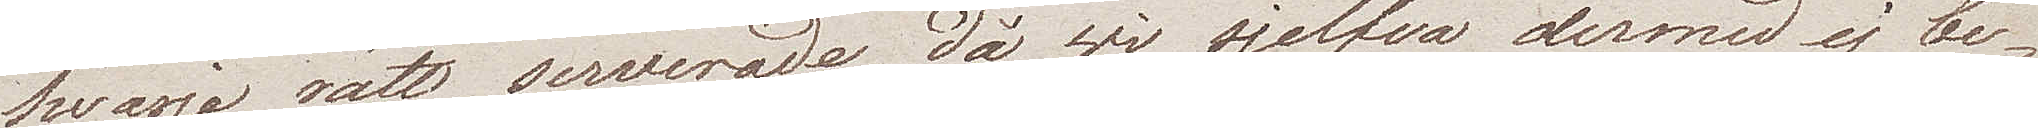hvarje rätt serverade, då wi sjelfva dermed ej be¬
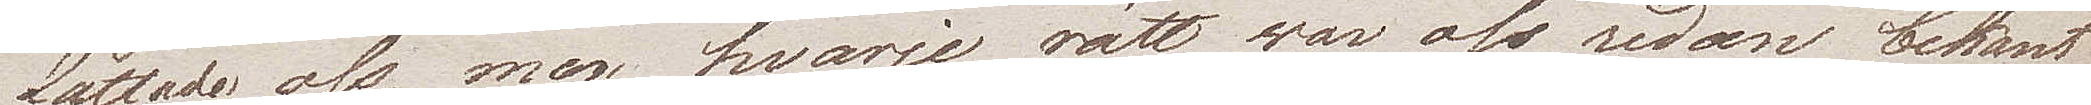fattade oss, men hvarje rätt war oss redan bekant
